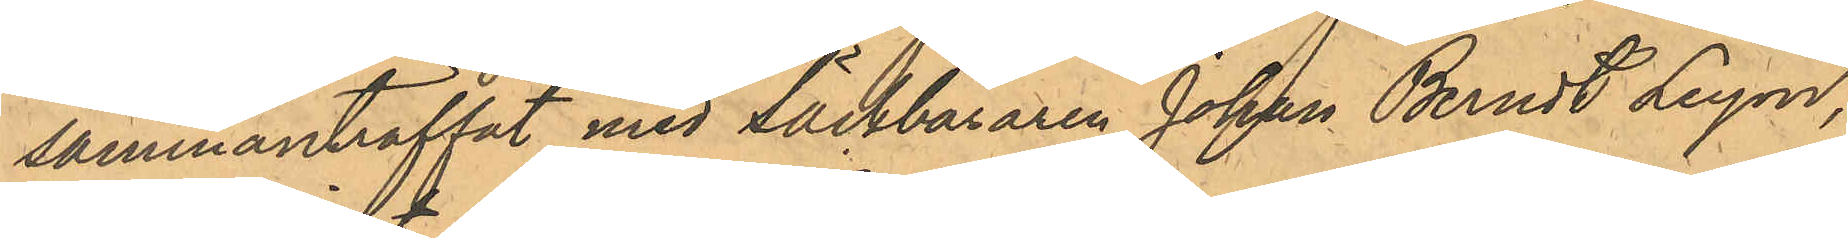sammanträffat med Säckbäraren Johan Berndt Leyon,
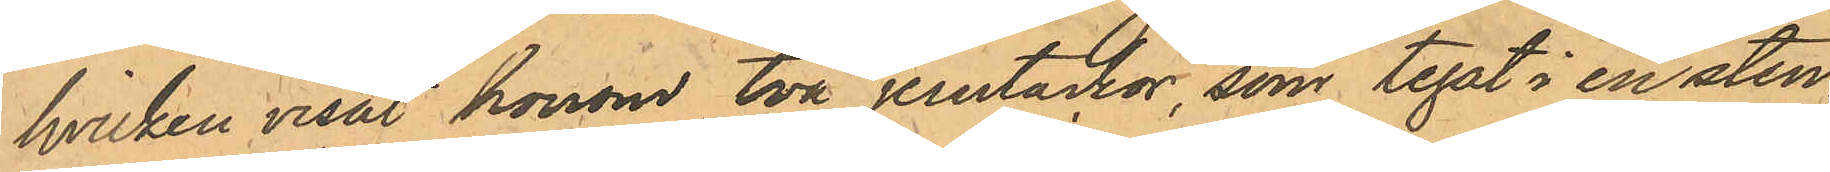hvilken visat honom två jerntackor, som legat i en sten¬
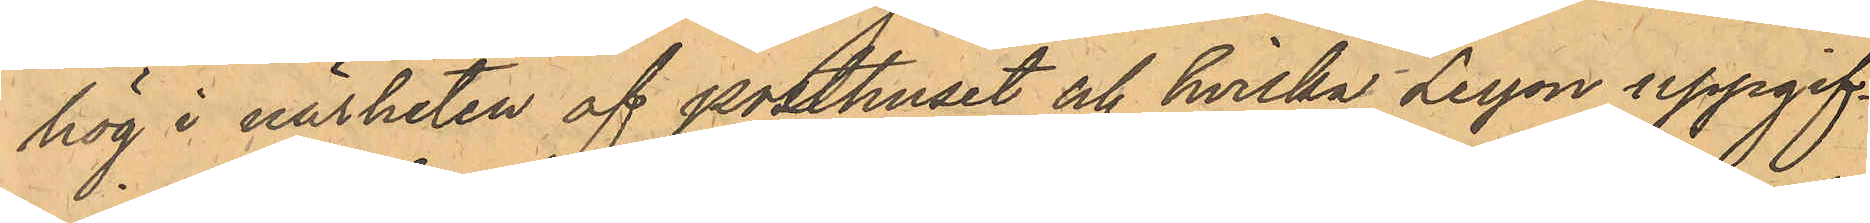hög i närheten af posthuset och hvilka Leyon uppgif¬
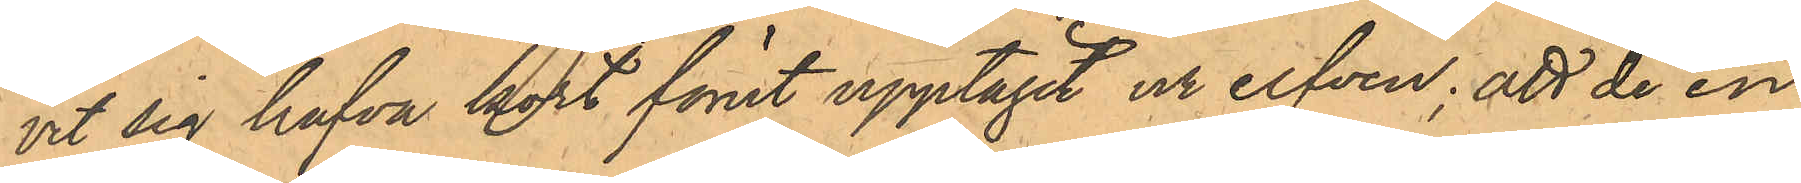vit sig hafva kort förut upptagit ur elfven; att de en
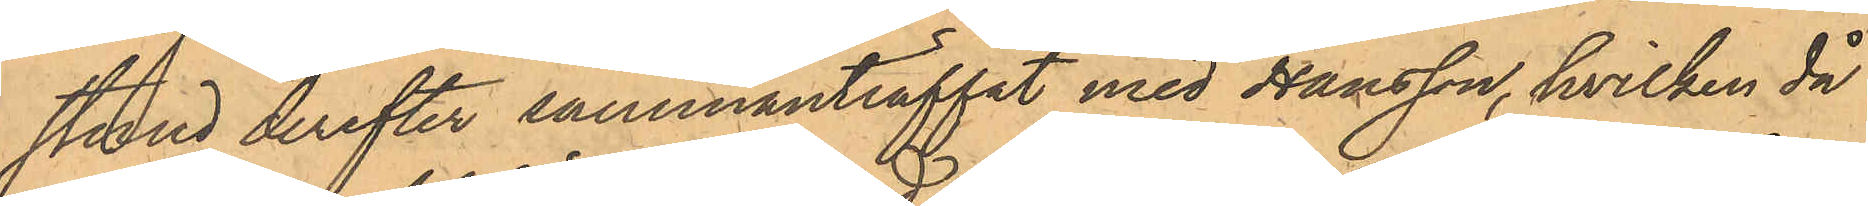stund derefter sammanträffat med Hansson, hvilken då
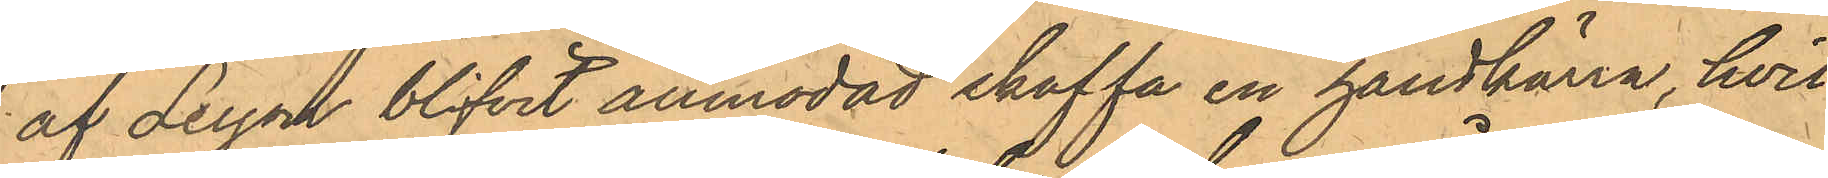af Leyon blifvit anmodad skaffa en handkärra, hvil¬
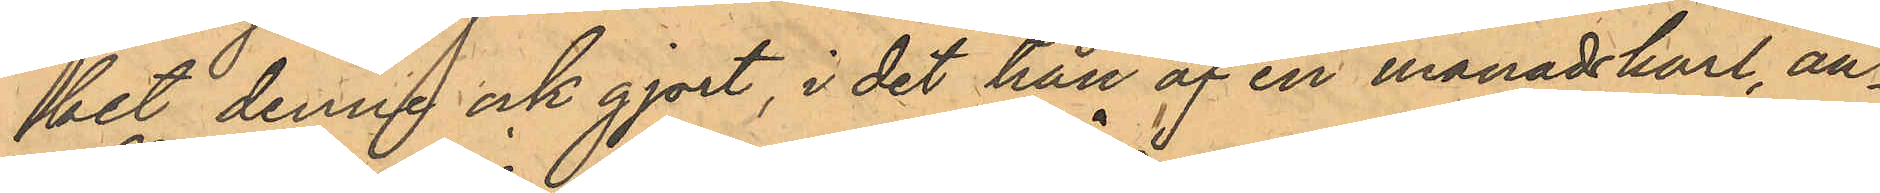ket denne ock gjort, i det han af en månadskarl, an¬
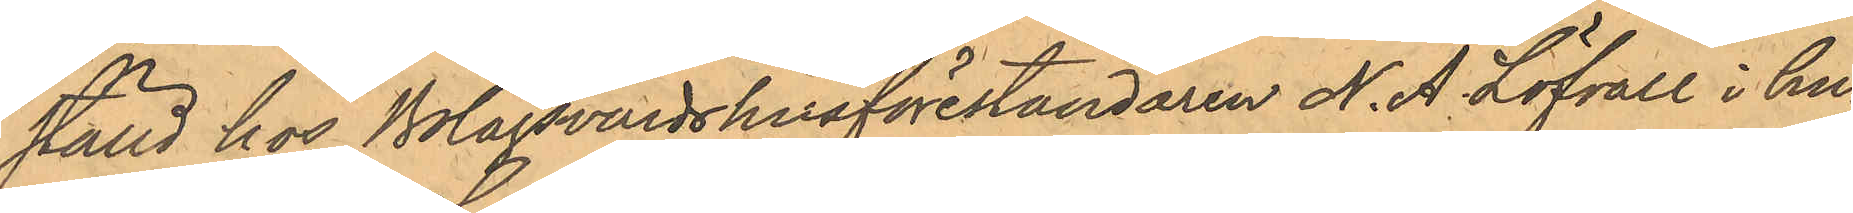ställd hos Bolagsvärdshusföreståndaren N. A Löfvall i hu¬
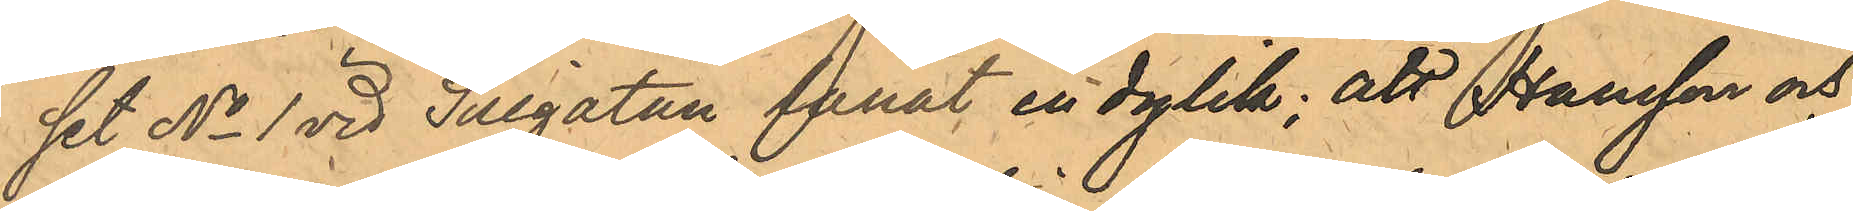set No 1 vid Sillgatan lånat en dylik; att Hansson och
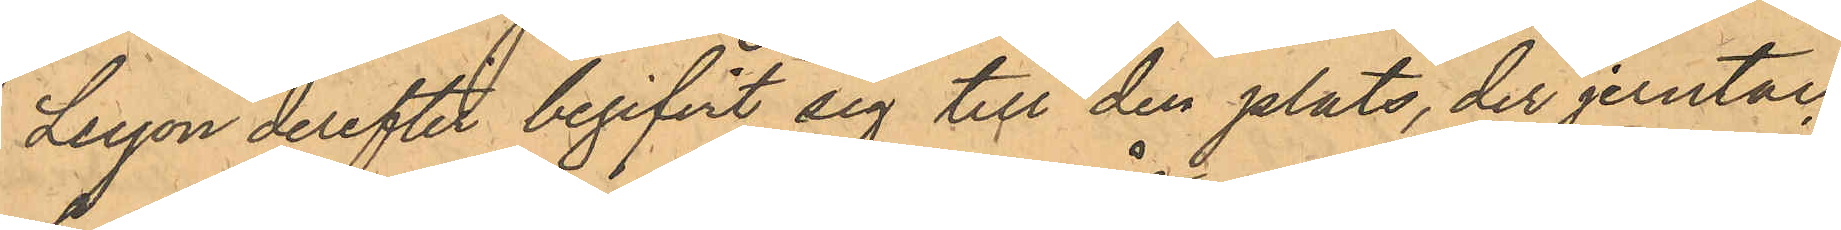Leyon derefter begifvit sig till den plats, der jerntac¬
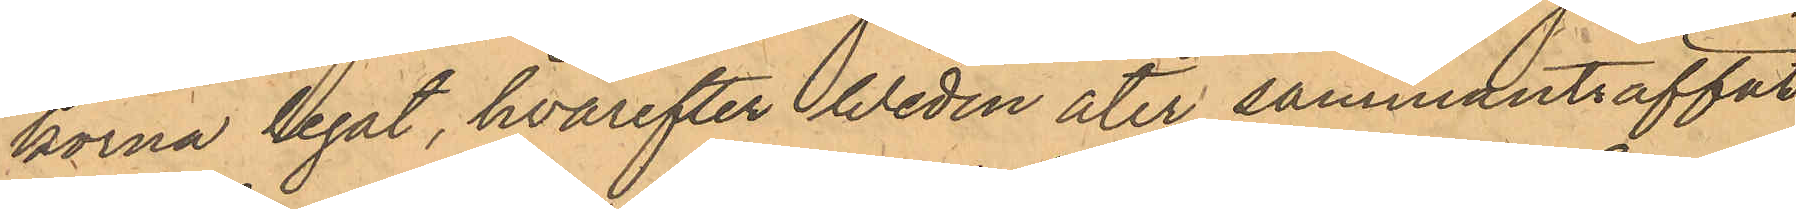korna legat, hvarefter Wedin åter sammanträffat
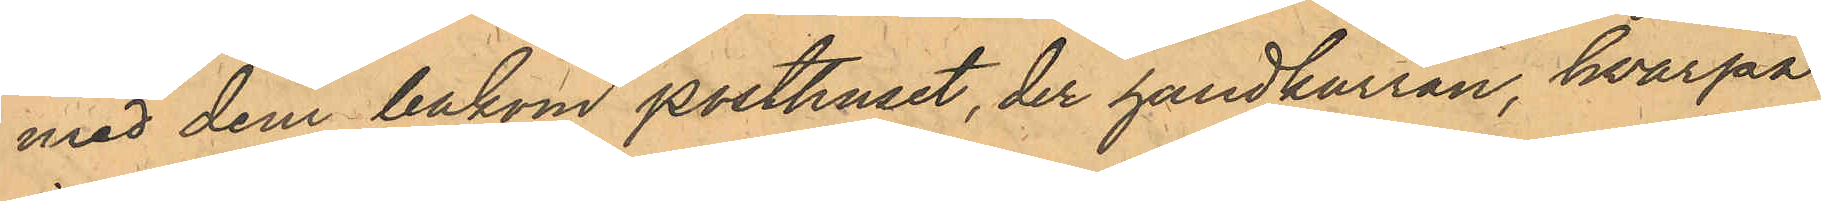med dem bakom posthuset, der handkärran, hvarpå
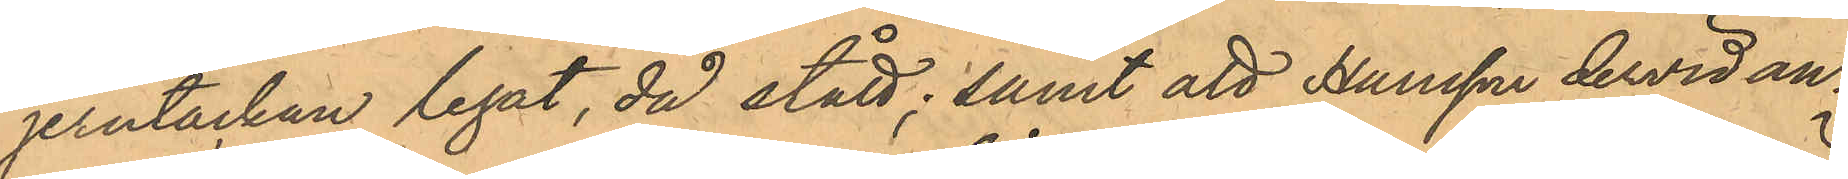jerntackan legat, då stått; samt att Hansson dervid an¬
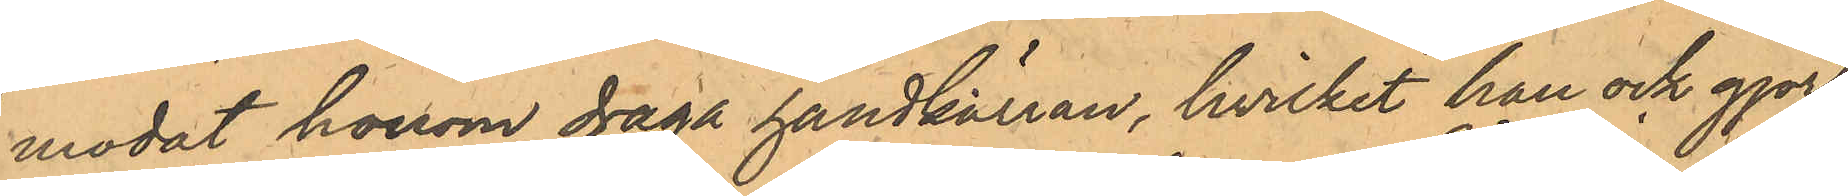modat honom draga handkärran, hvilket han ock gjort,
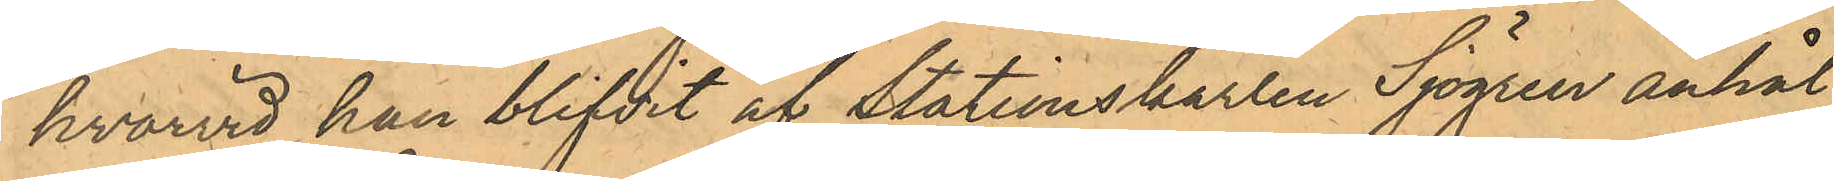hvarvid han blifvit af Stationskarlen Sjögren anhål¬
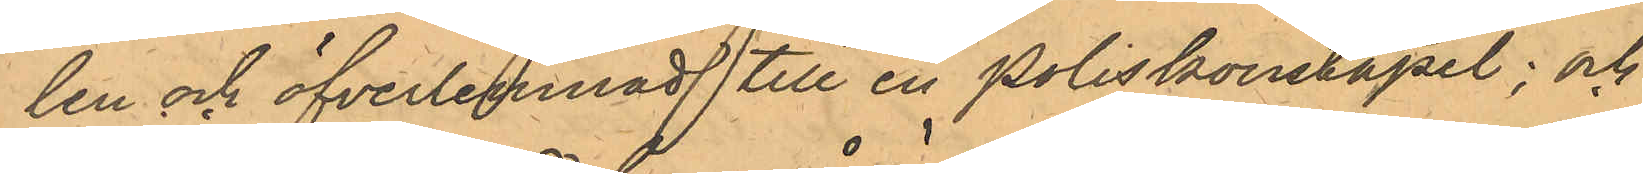len och öfverlemnad till en Poliskonstapel; och
